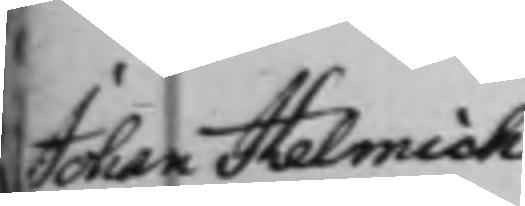Johan Helmich
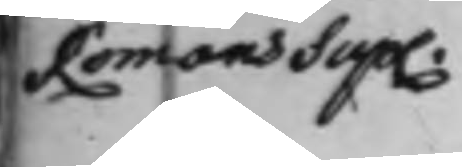Romans Sup.
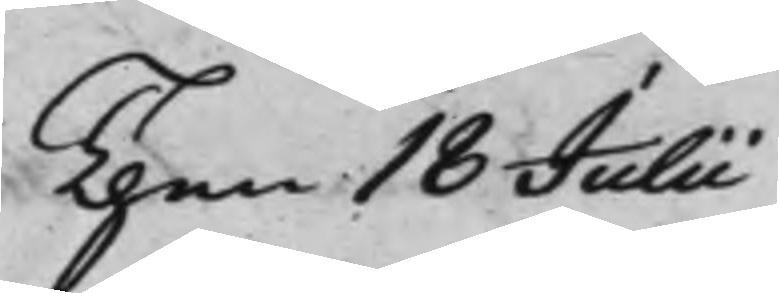Then 18 Julii
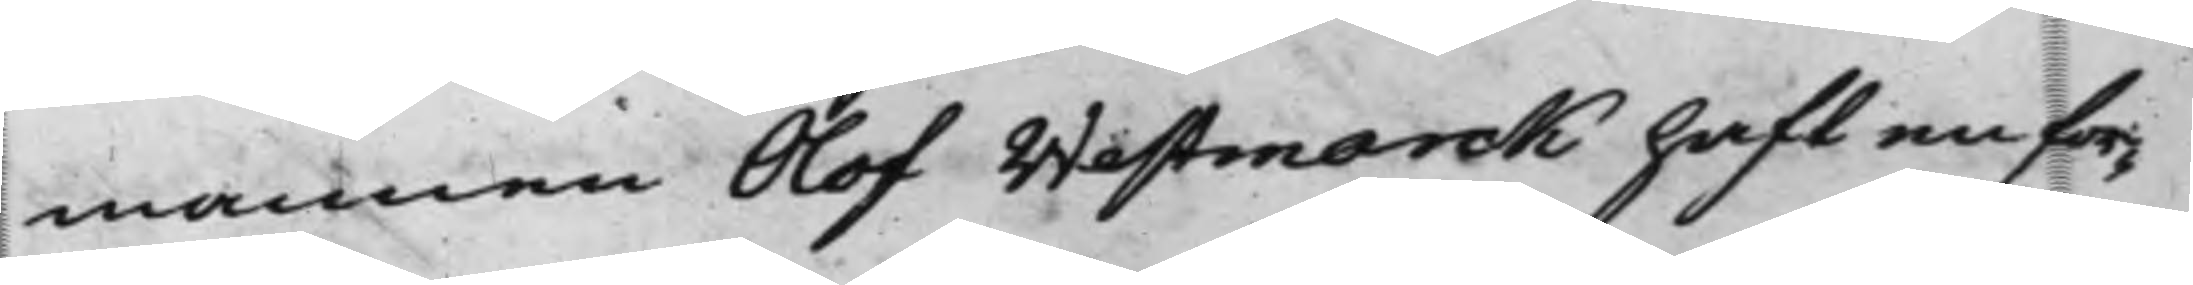mannen Olof Westmarck hafft en for¬
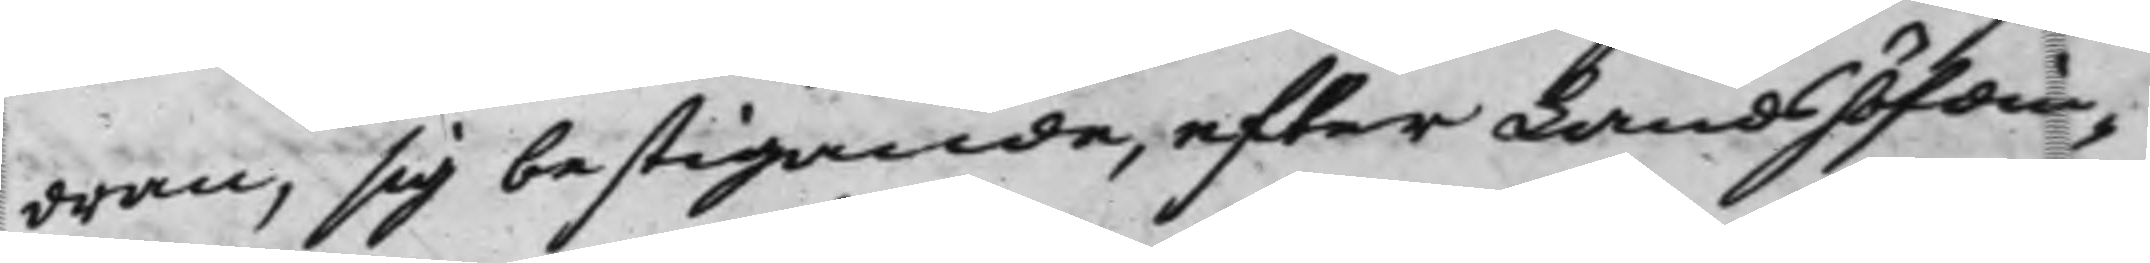dran, sig bestigande, efter Landshöfdin¬
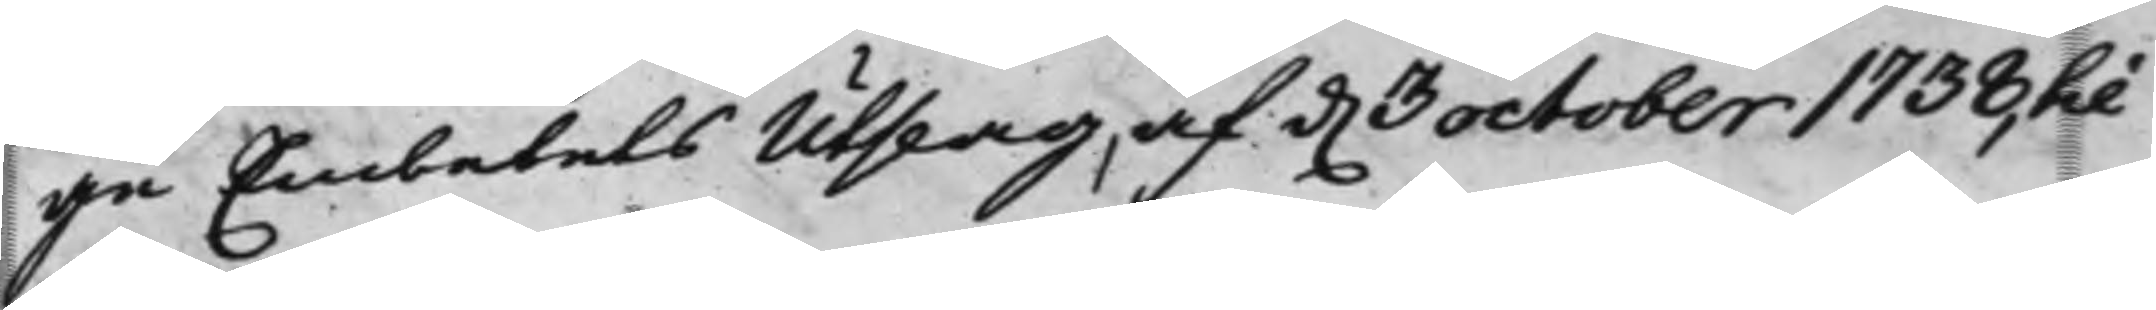ge Embetets utslag, af d. 3 october 1738, til
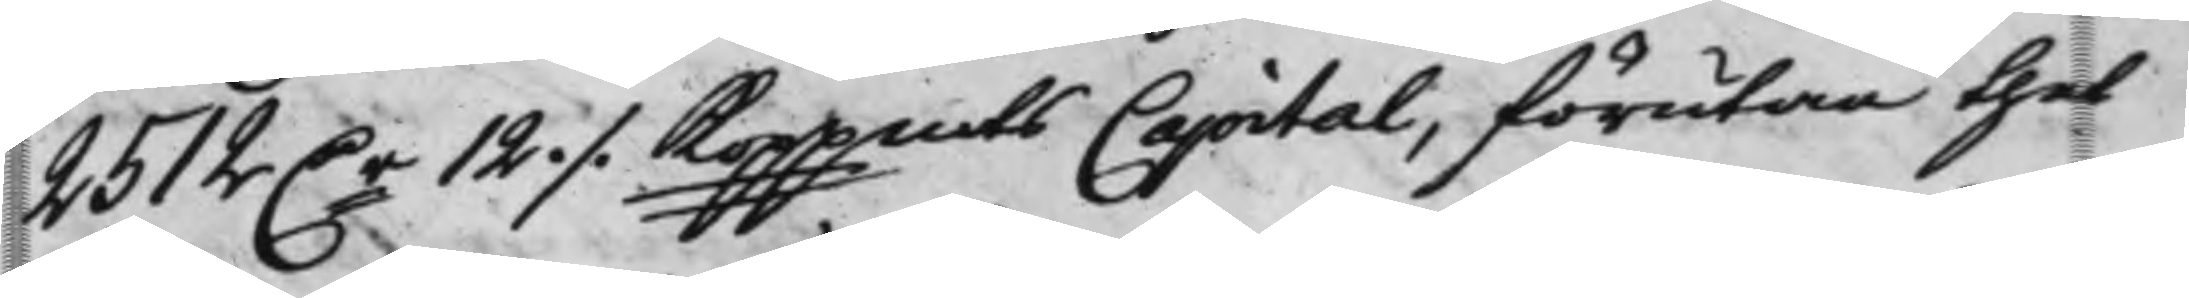2512 D.r 12 ./. Koppmts Capital, förutan thet
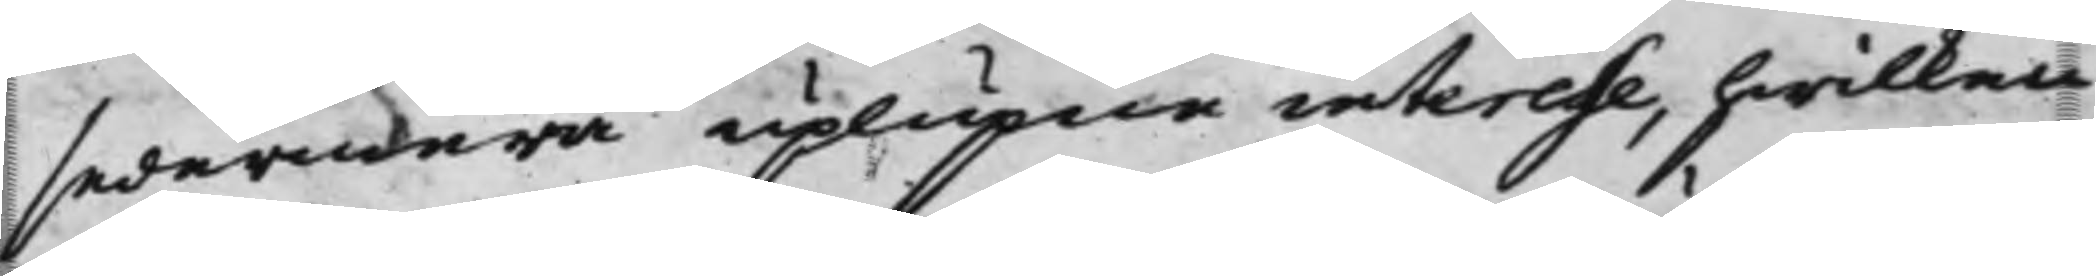sedermera uplupne interesse, hwilken
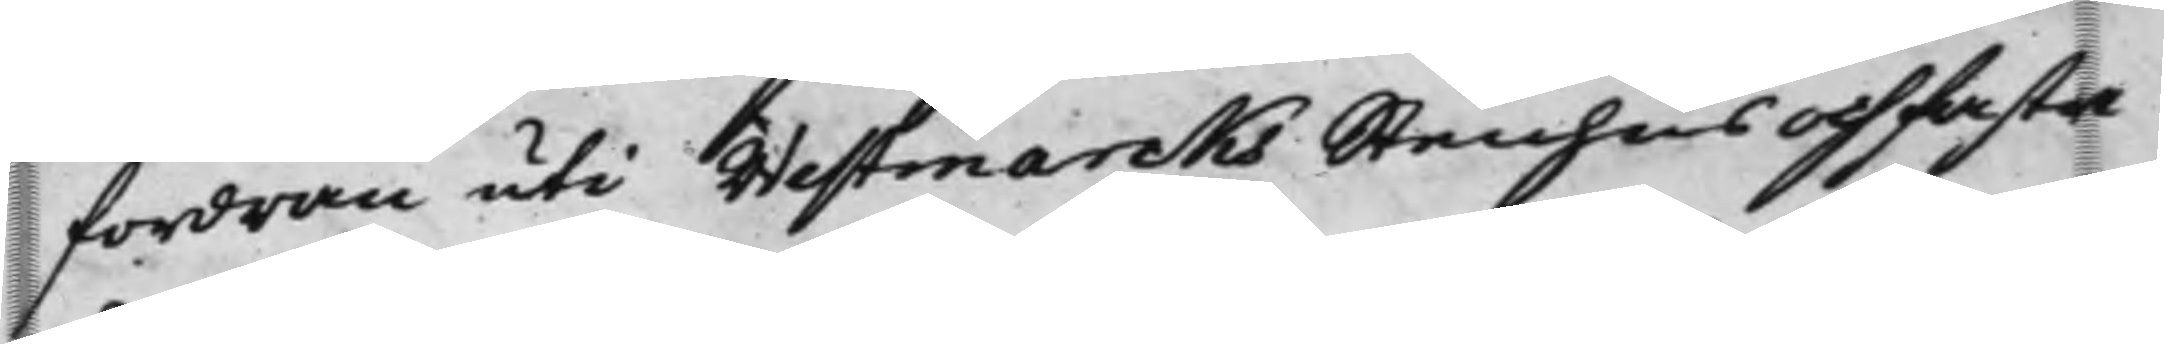fordran uti Westmarcks Stenhus och fasta
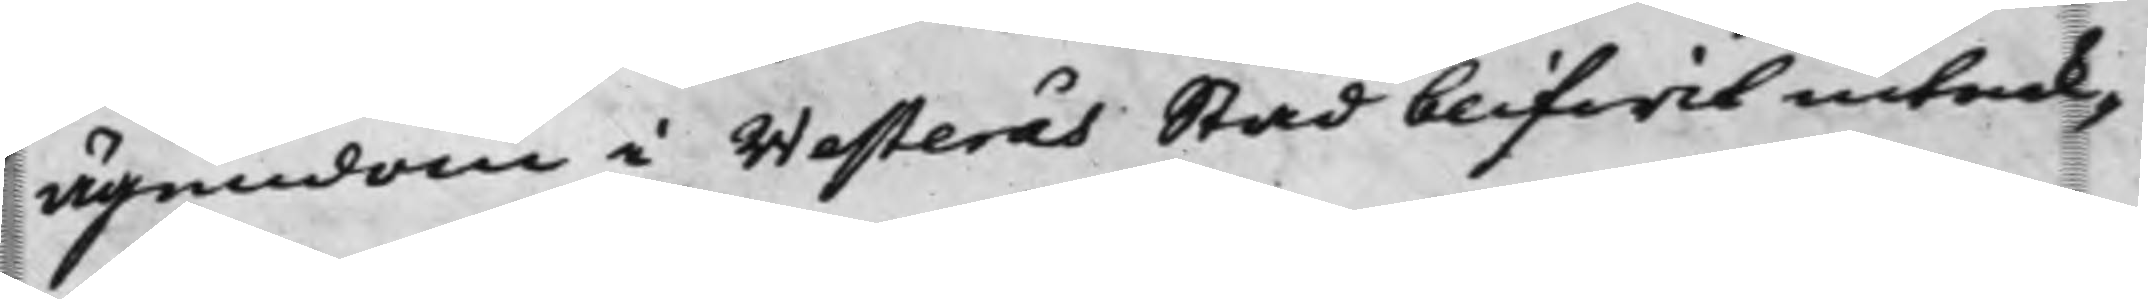ägendom i Westerås Stad blifwit inteck¬
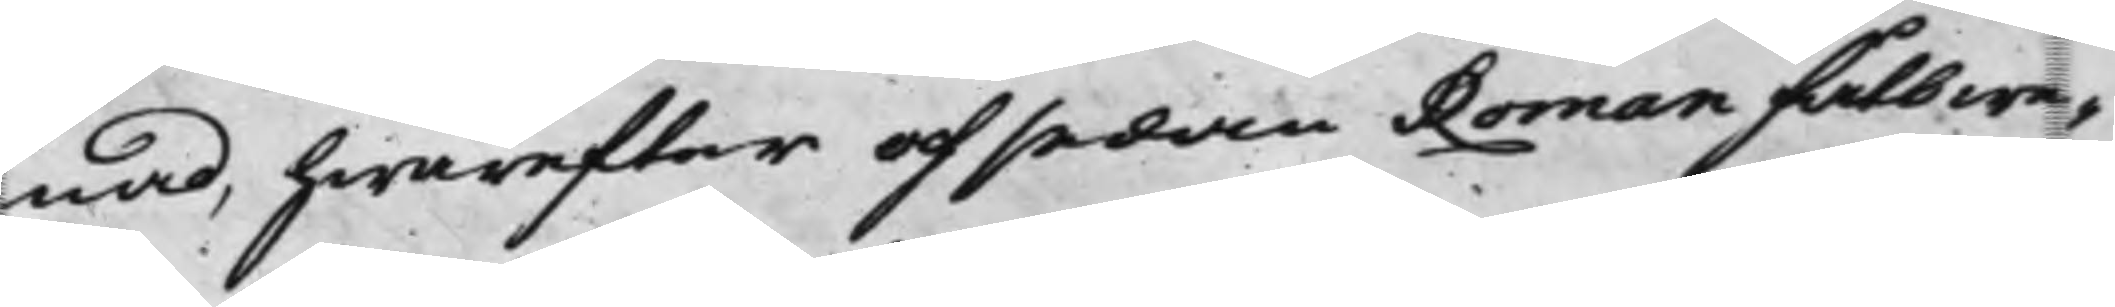nad, hwarefter och sedan Roman fått we¬
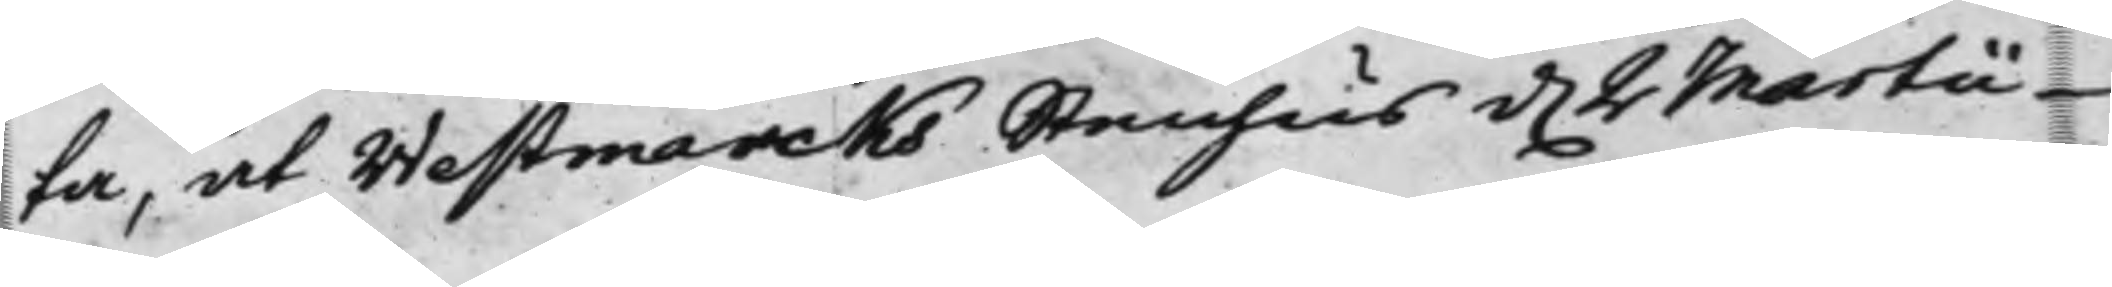ta, at Westmarcks Stenhus d. 2 Martii
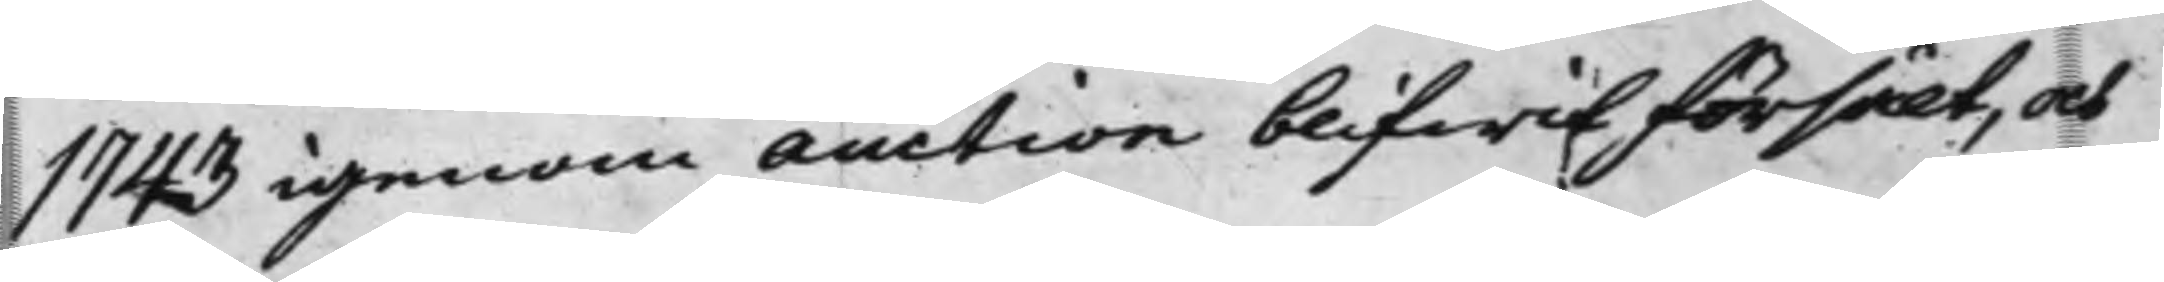1743 igenom auction blifwit försålt, och
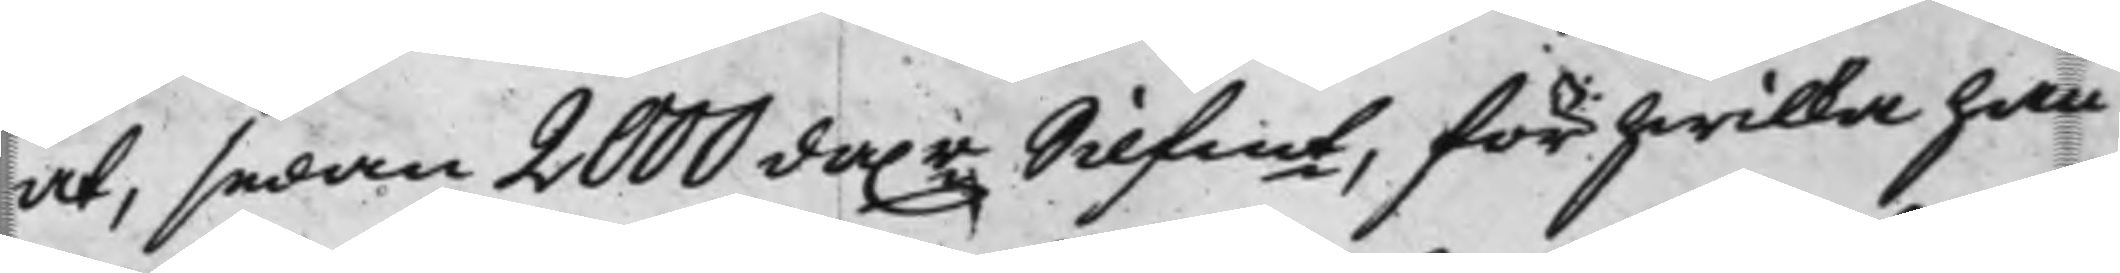at, sedan 2000 da.r Silfmt, för hwilka han
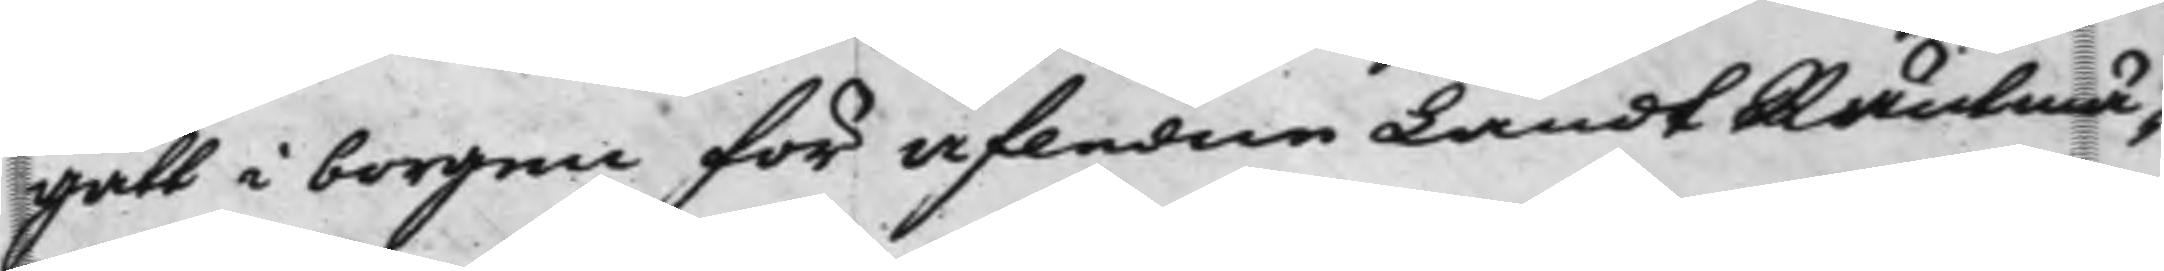gått i borgen för afledne LandtRäntmä¬
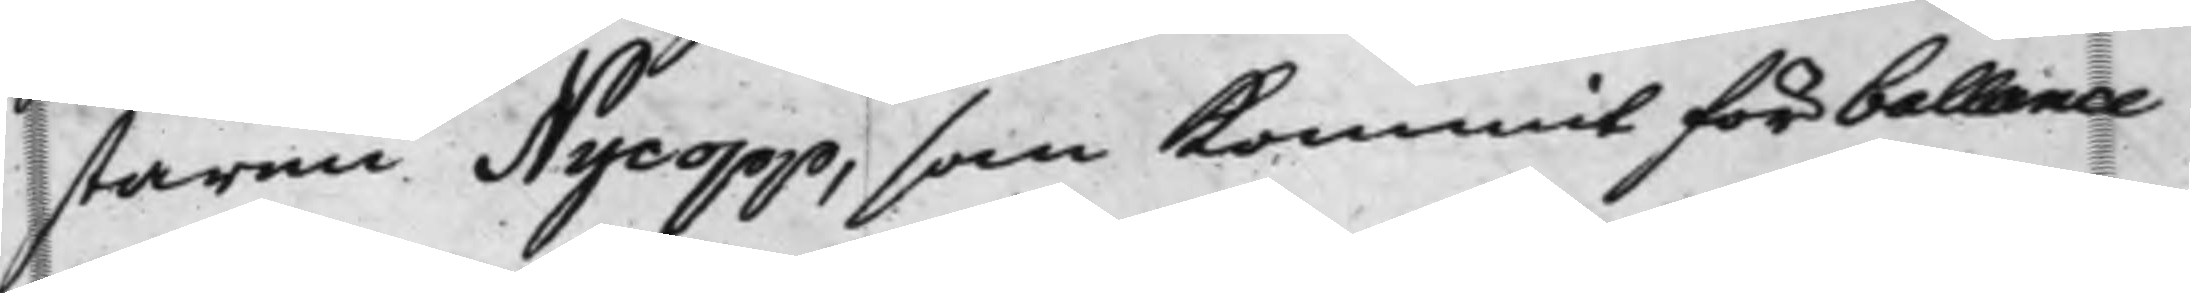staren Nycopp, som kommit för ballance
